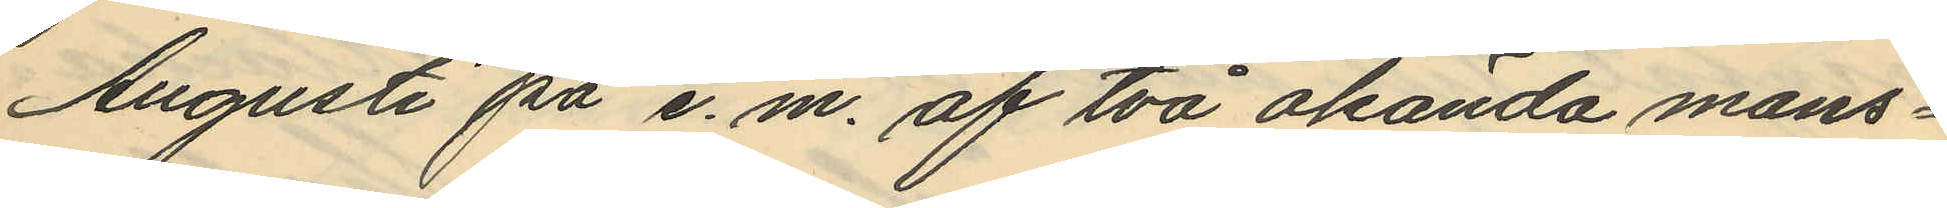Augusti på e. m. af två okända mans¬
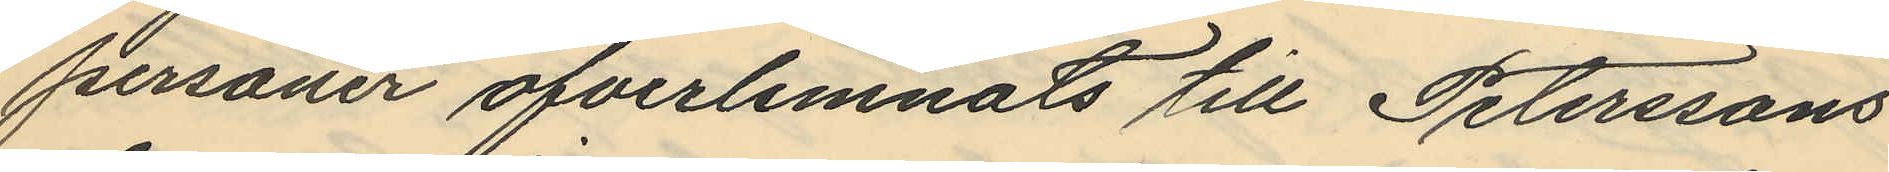personer öfverlemnats till Peterssons
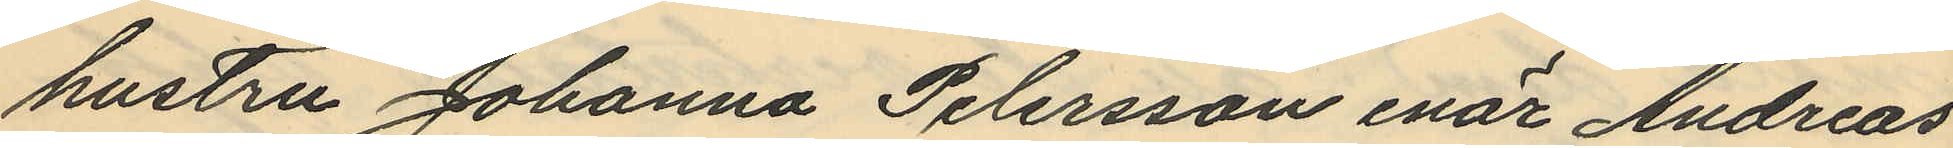hustru Johanna Petersson enär Andreas
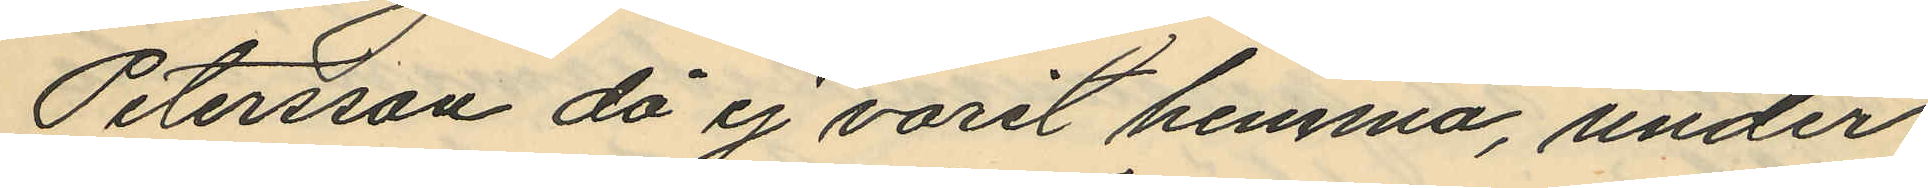Petersson då ej varit hemma, under
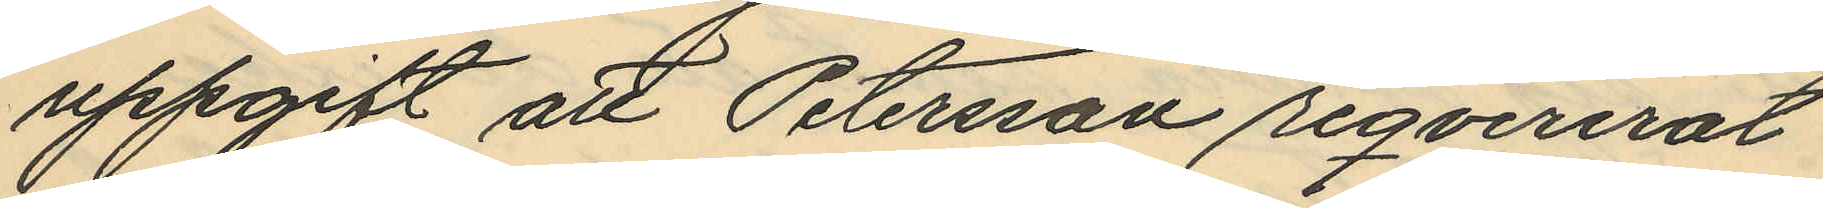uppgift att Petersson reqvirerat
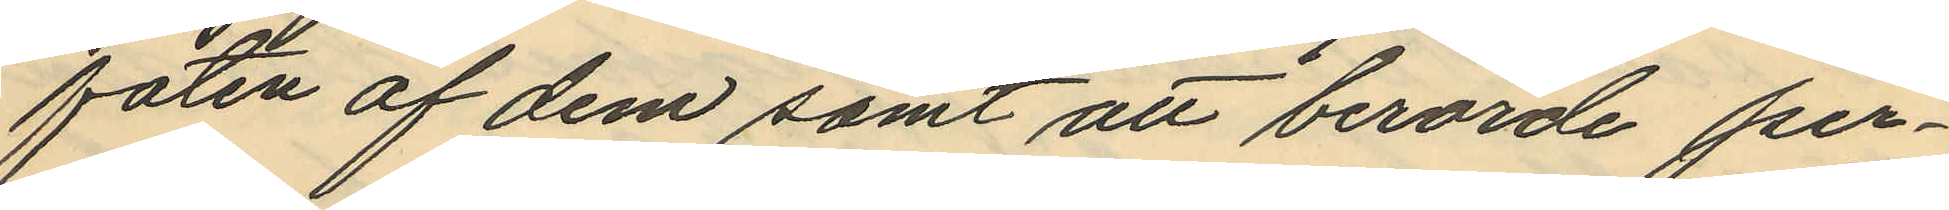faten af dem samt att berörde per¬
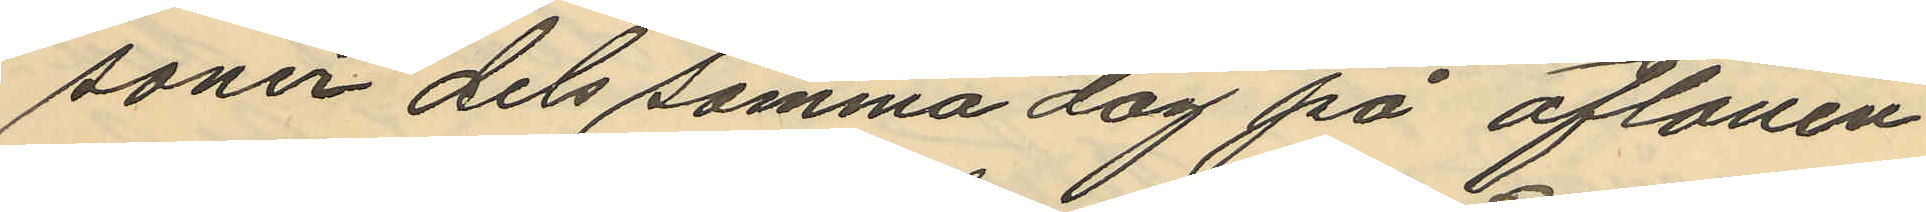soner dels samma dag på aftonen
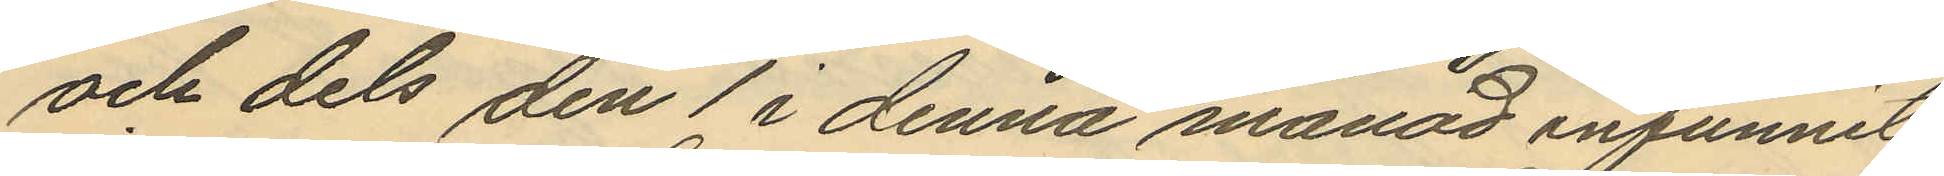och dels den 1 i denna månad infunnit
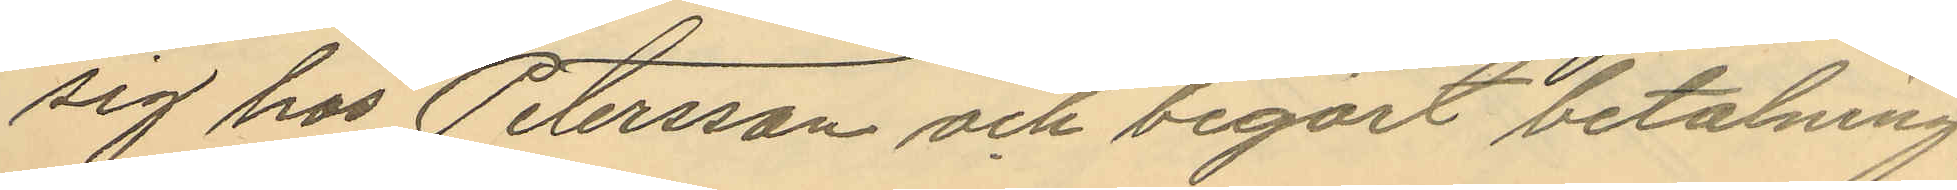sig hos Petersson och begärt betalning
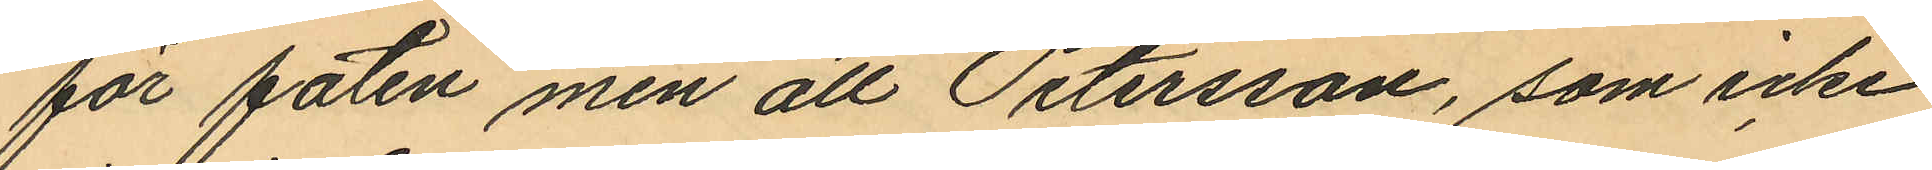för faten men all Petersson, som icke
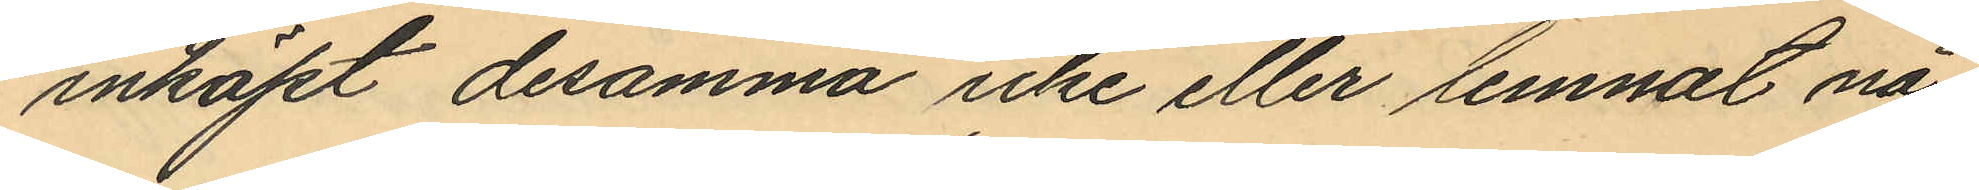inköpt desamma icke eller lemnat nå¬
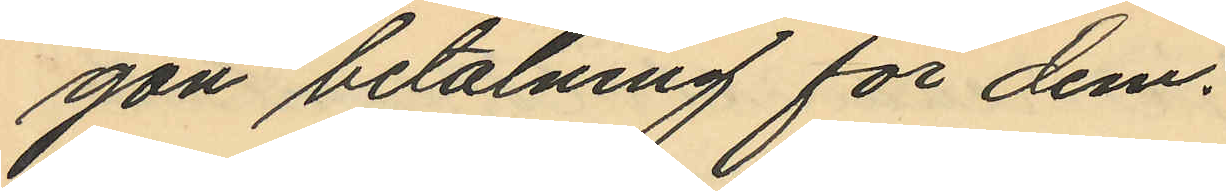gon betalning för dem.
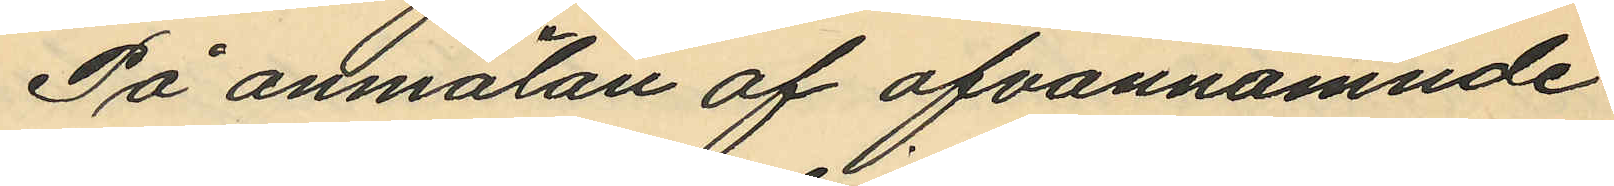På annmälan af ofvannämnde
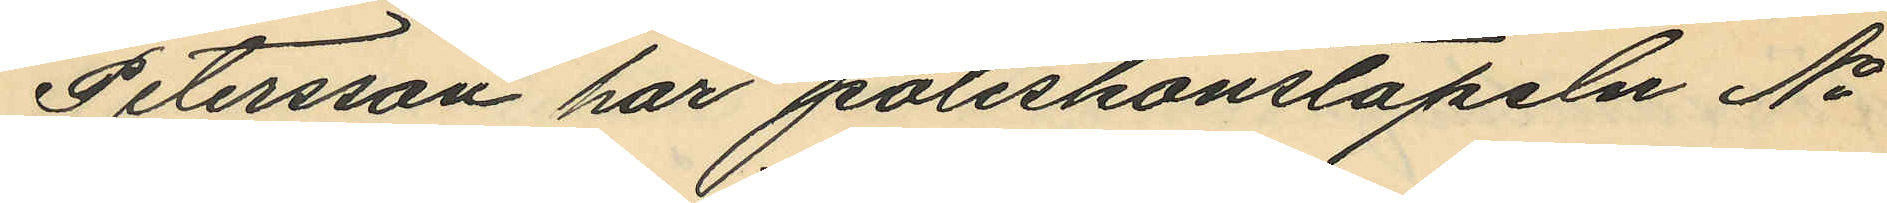Petersson har poliskonstapeln No
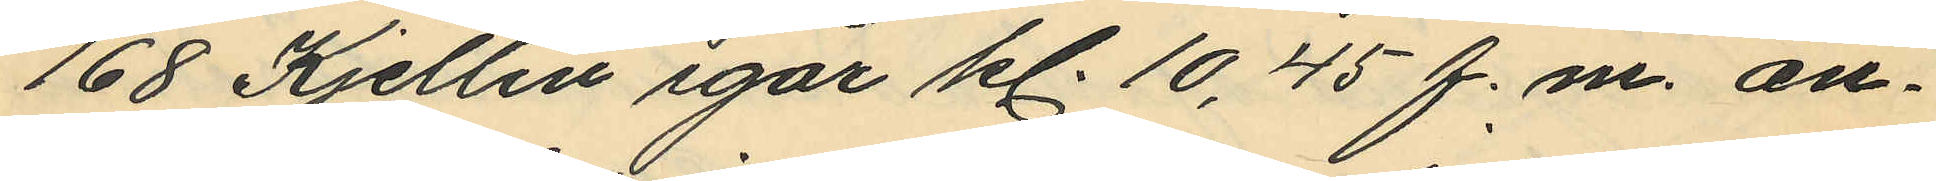168 Kjellin igår kl. 10,45 f.m. an¬
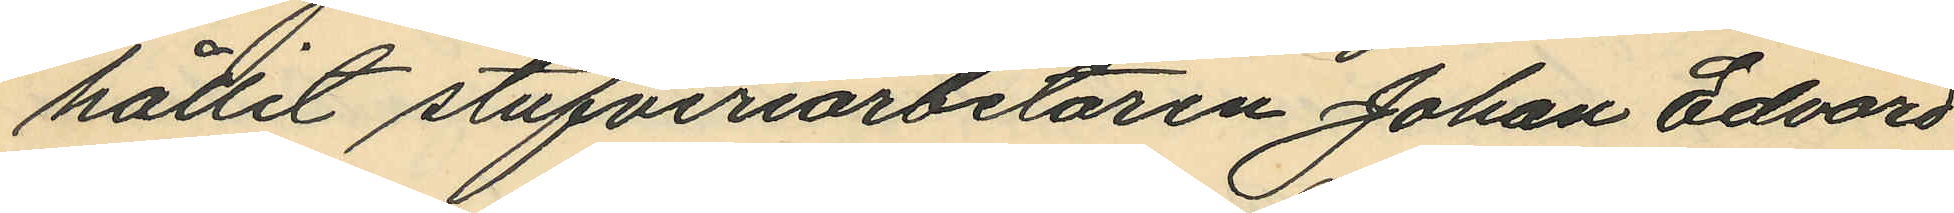hållit stufveriarbetaren Johan Edvard
